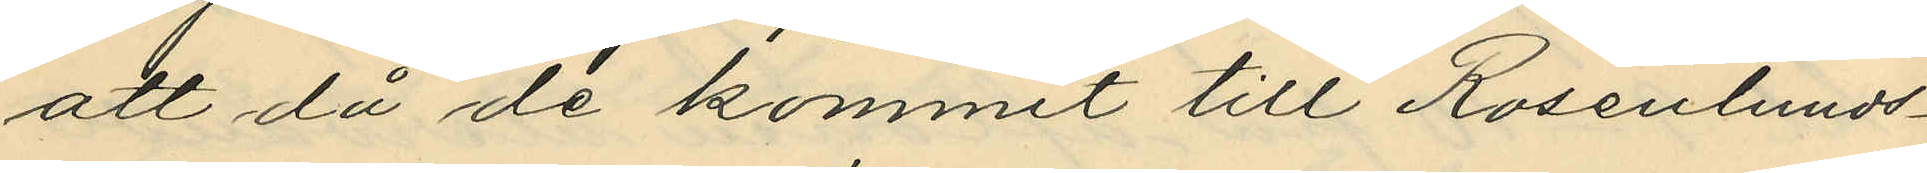att då de kommit till Rosenlunds¬
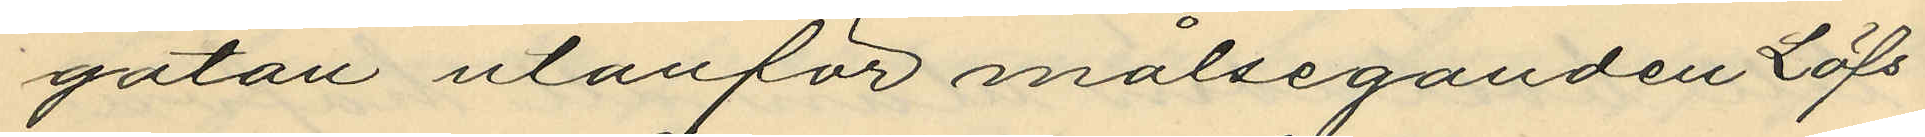gatan utanför målseganden Löfs
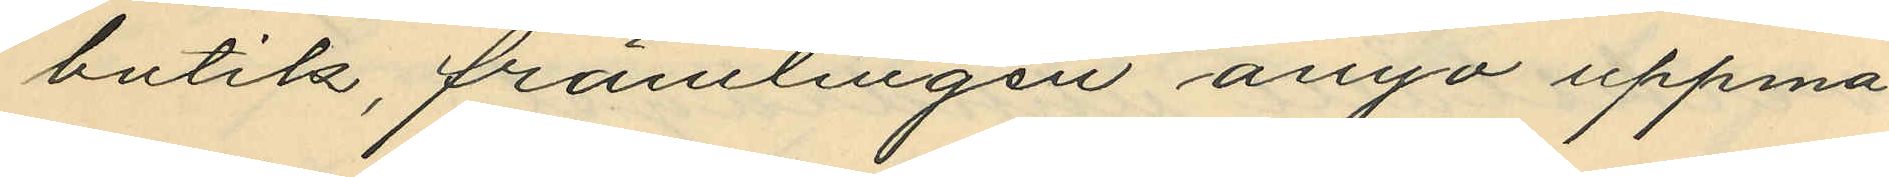butik, främlingen ånyo uppma¬
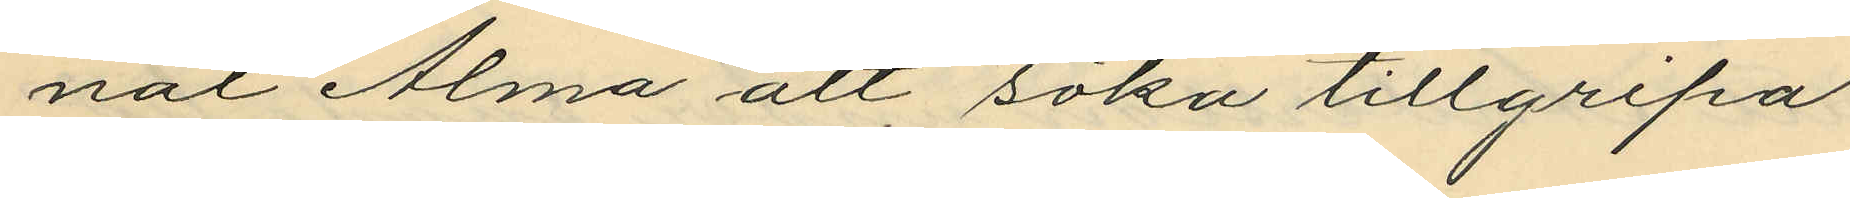nat Alma att söka tillgripa
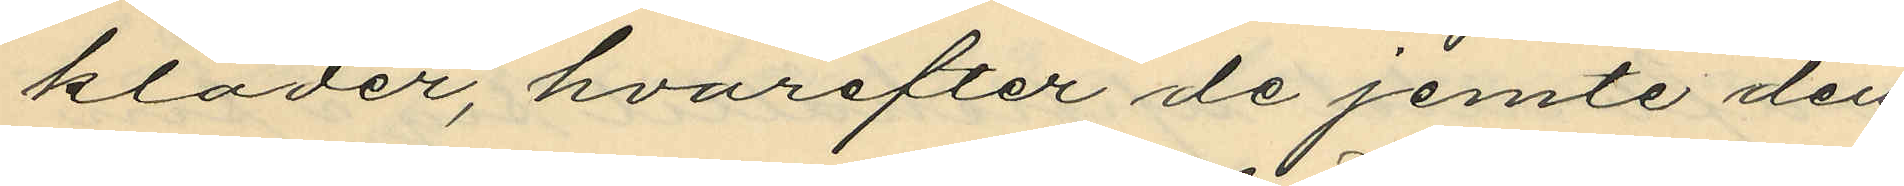kläder, hvarefter de jemte den
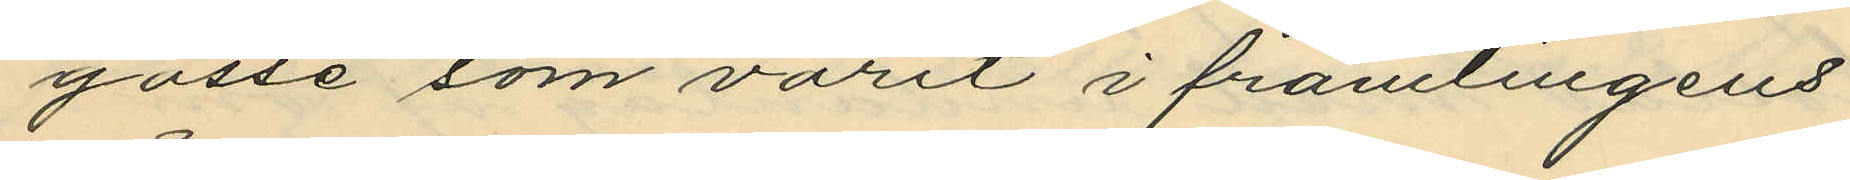gosse som varit i främlingens
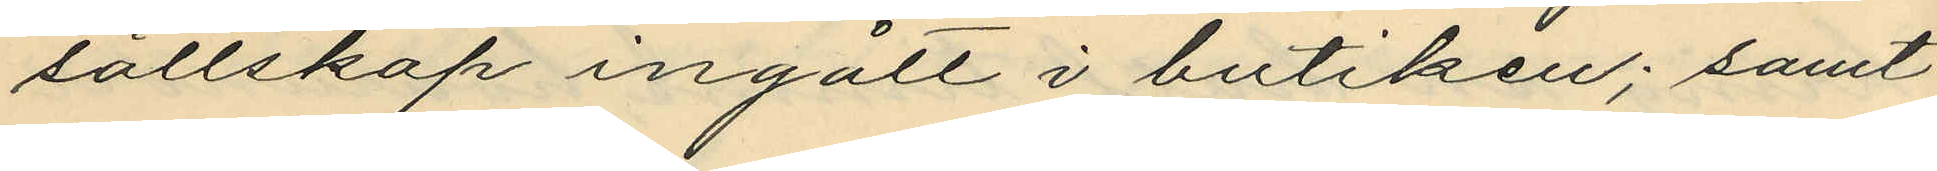sällskap ingått i butiken; samt
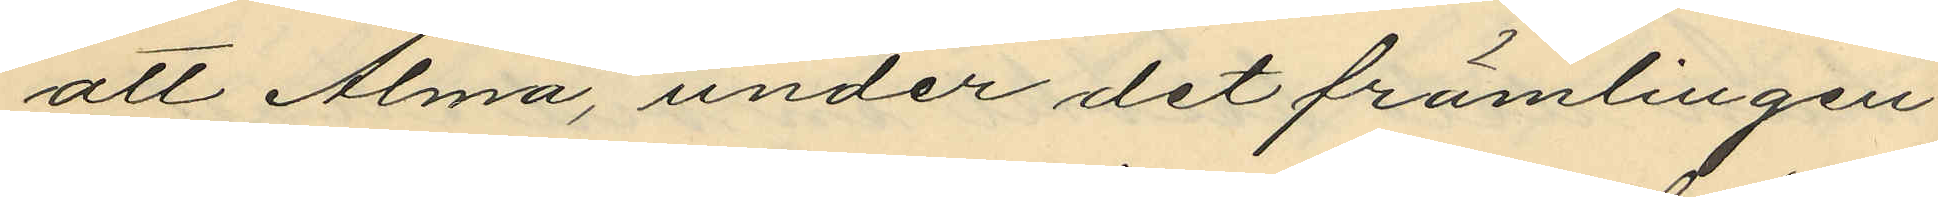att Alma, under det främlingen
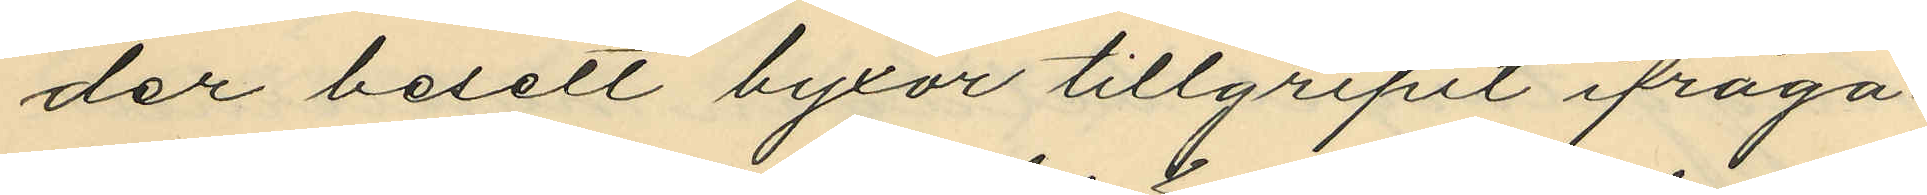der besett byxor tillgripit ifråga¬
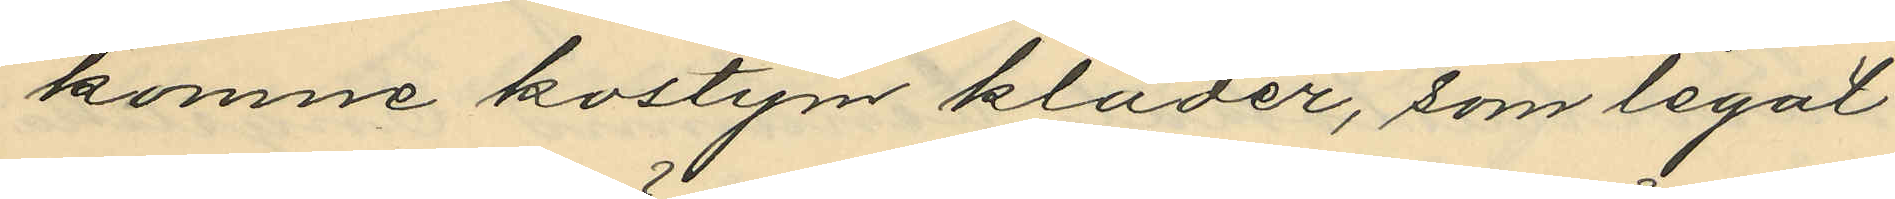komne kostym kläder, som legat
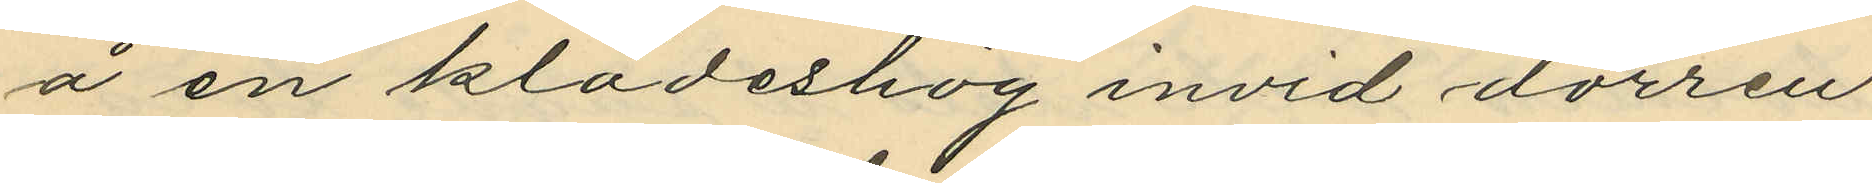å en klädeshög invid dörren
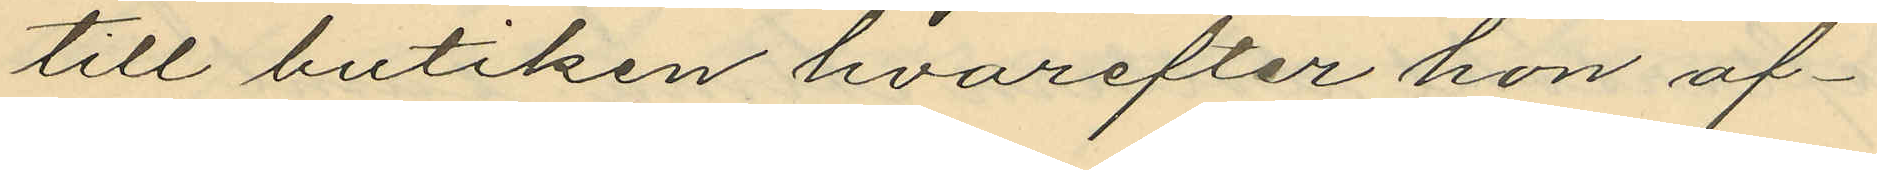till butiken hvarefter hon af¬
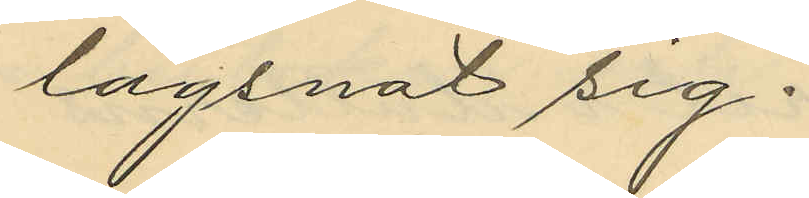lägsnat sig.
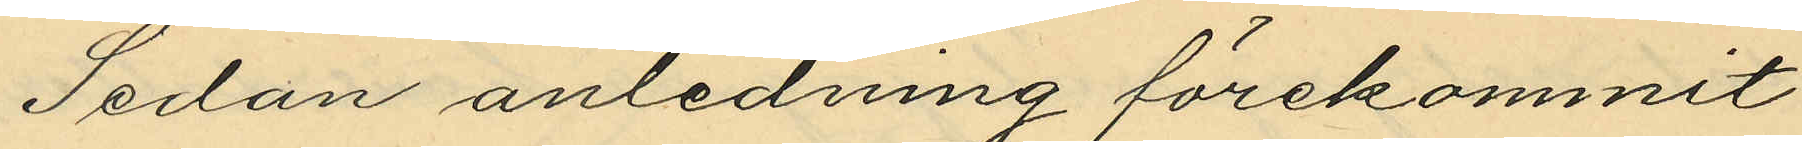Sedan anledning förekommit
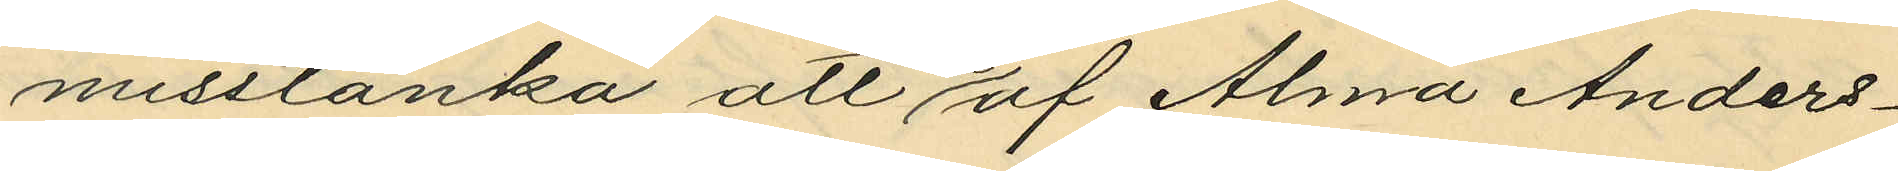misstänka att de af Alma Anders¬
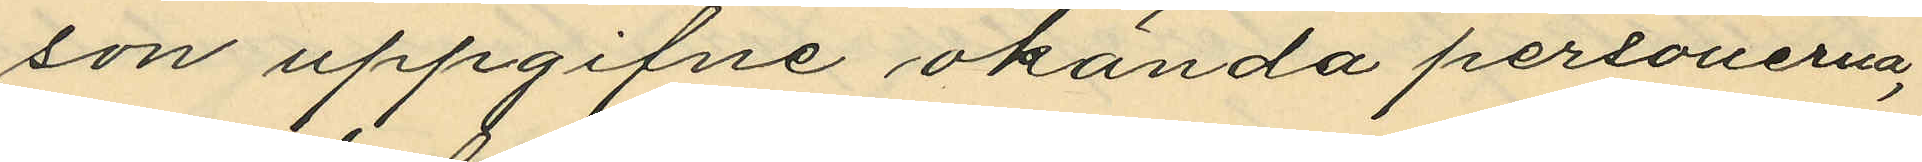son uppgifne okända personerna,
